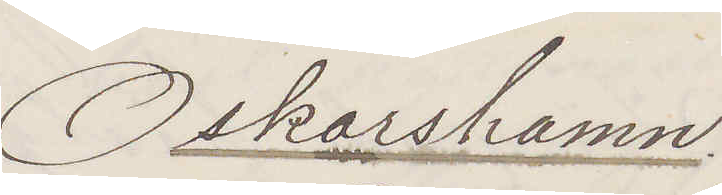Oskarshamn:
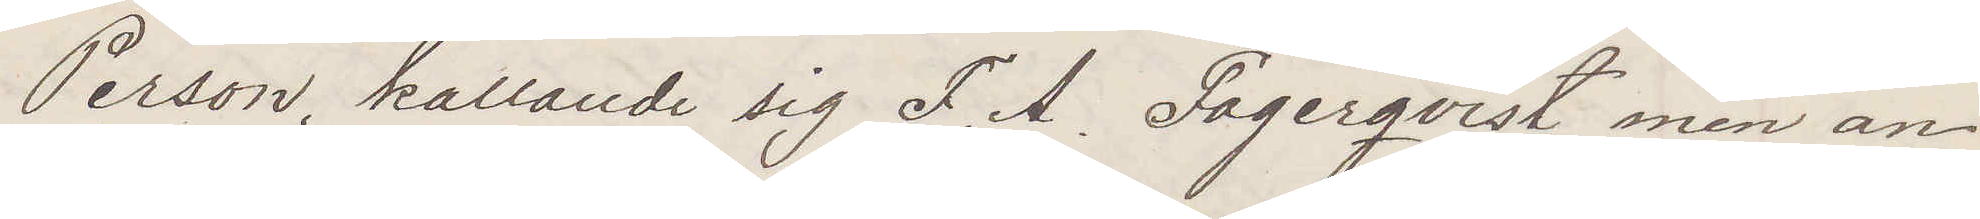Persson, kallande sig F. A. Fagerqvist, men an¬
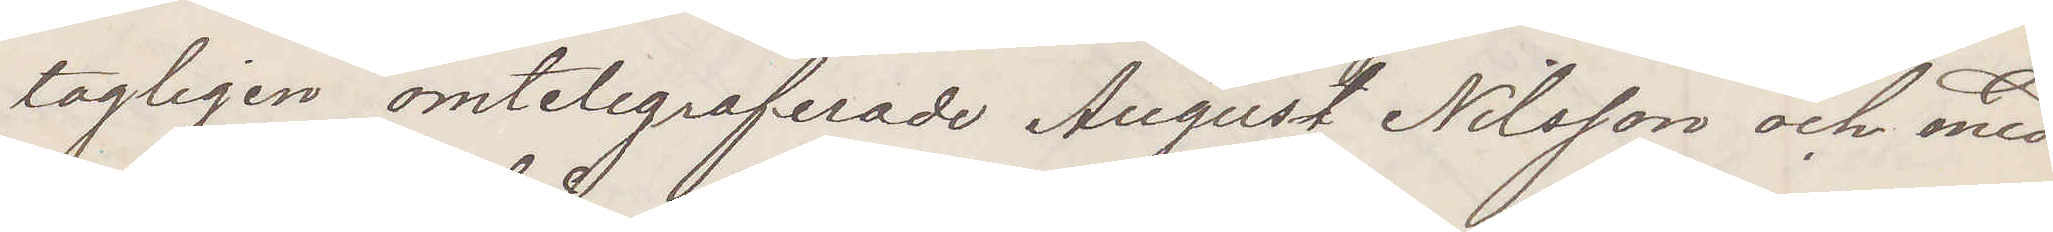tagligen omtelegraferade August Nilsson och med
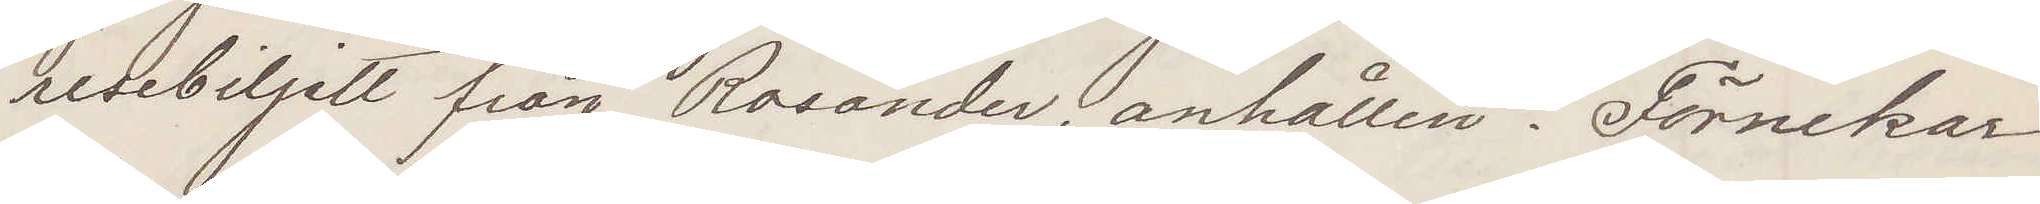resebiljett från Rosander, anhållen. Förnekar
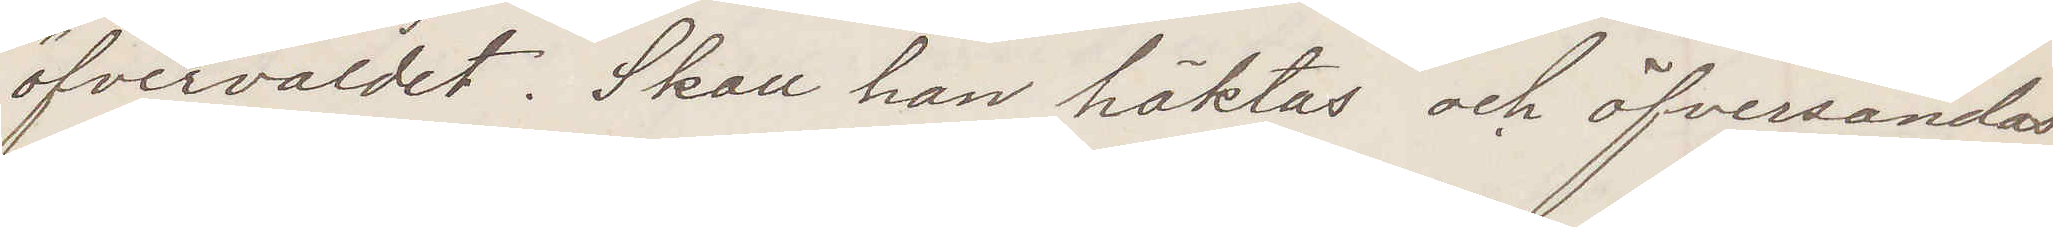öfvervåldet. Skall han häktas och öfversandas
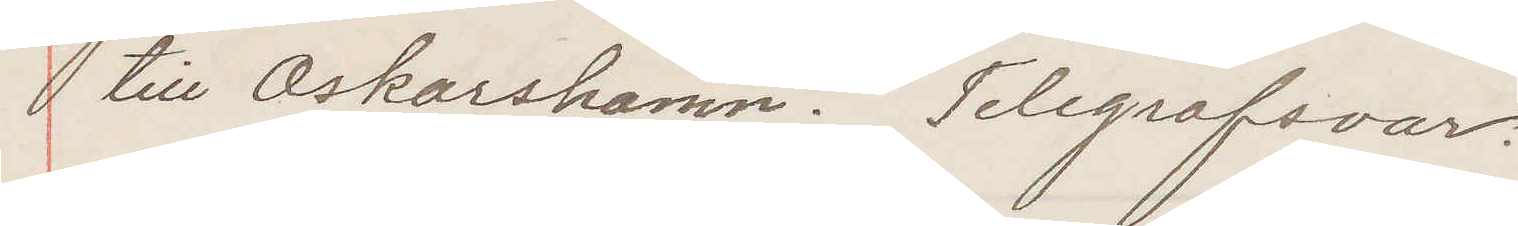till Oskarshamn. Telegrafsvar.
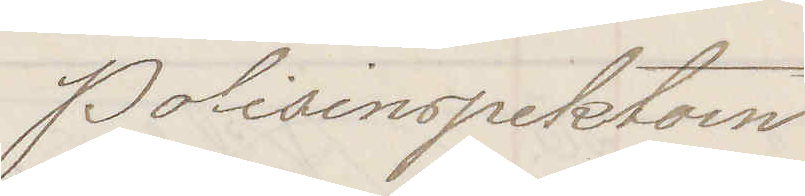Polisinspektorn
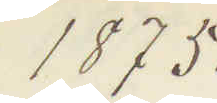1875.
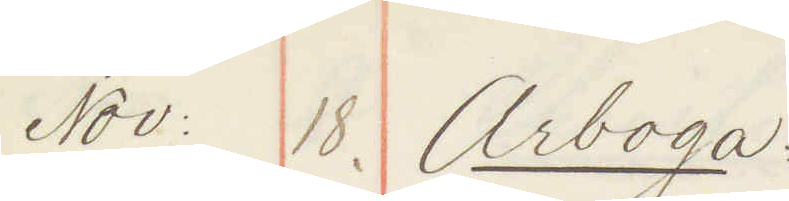Nov :18. Arboga:
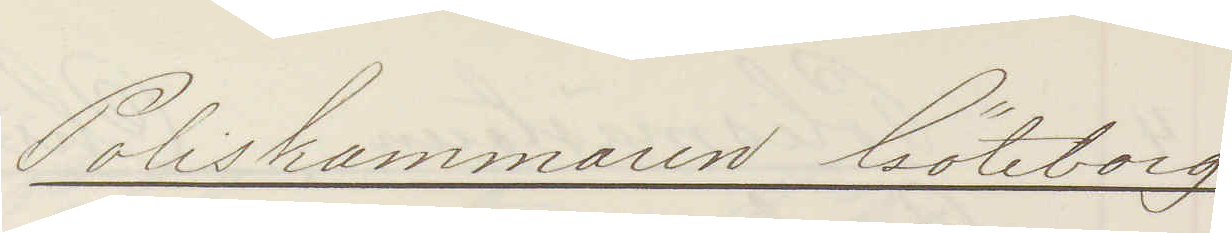Poliskammaren Göteborg
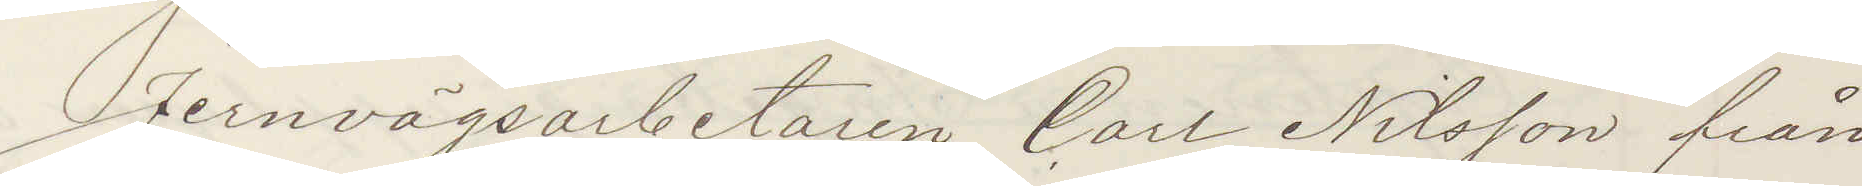Jernvägsarbetaren Carl Nilsson från
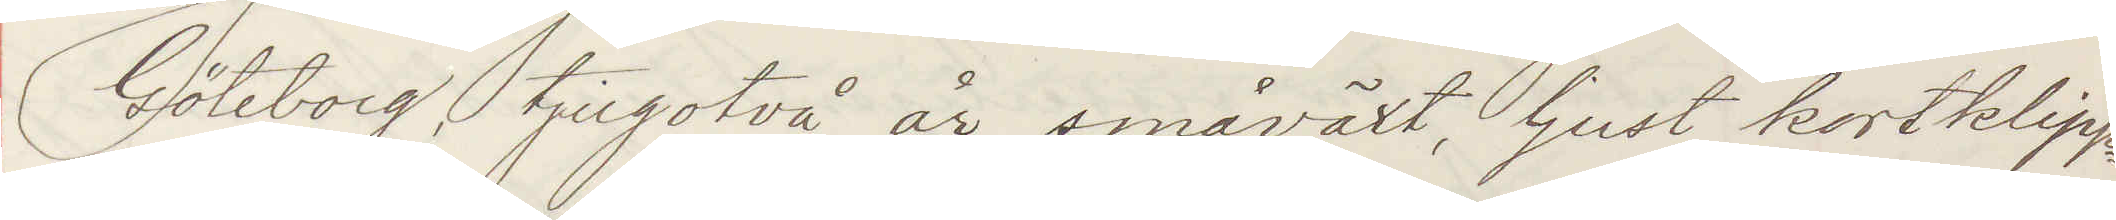Göteborg, tjugotvå år, småväxt, ljust kortklippt
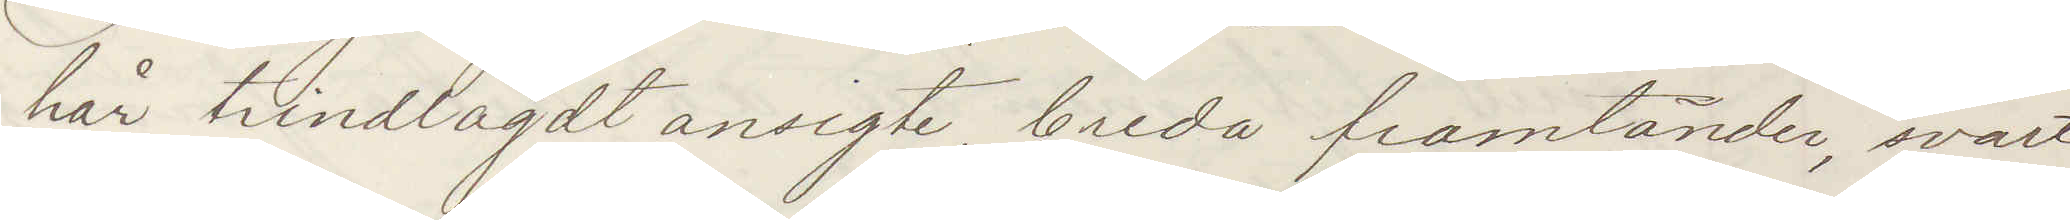hår, trindlagdt ansigte, breda framtänder, svart
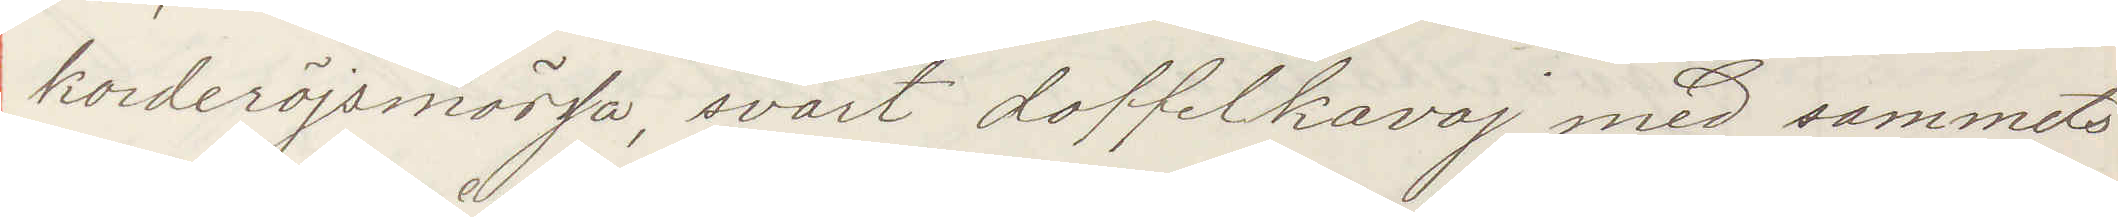korderöjsmössa, svart doffelkavaj med sammets¬
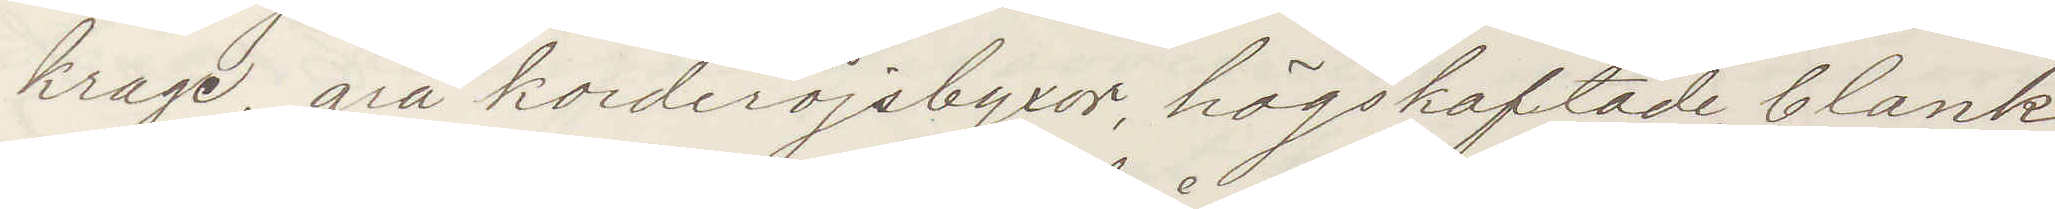krage, grå korderöjsbyxor, högskaftade blank¬
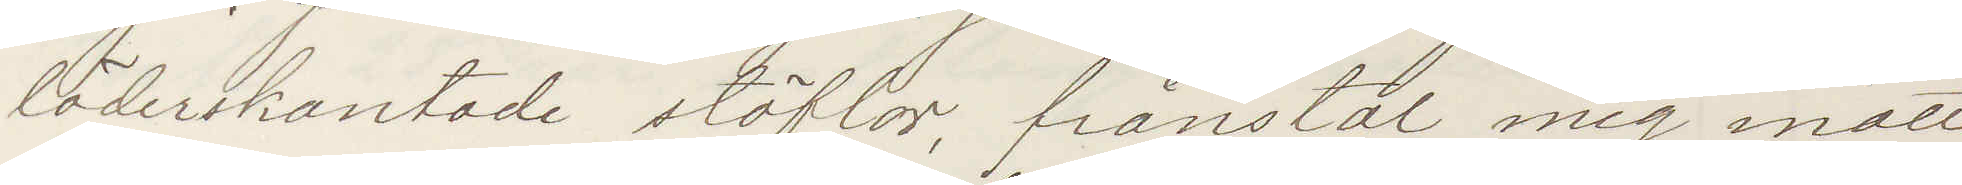läderskantade stöflar, frånstal mig inatt
